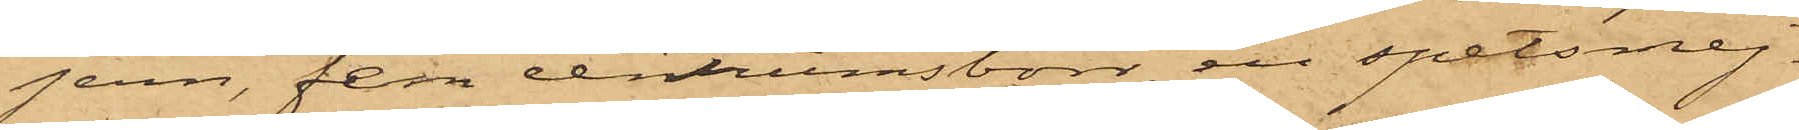jern, fem centrumsborr, en spetsmej¬
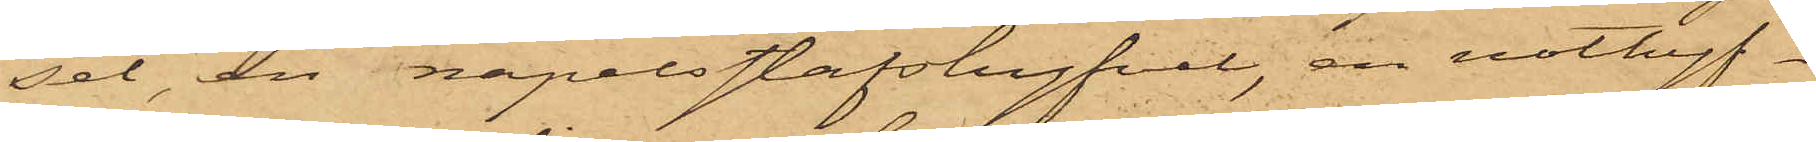sel, en napelstafshyfvel, en not¬
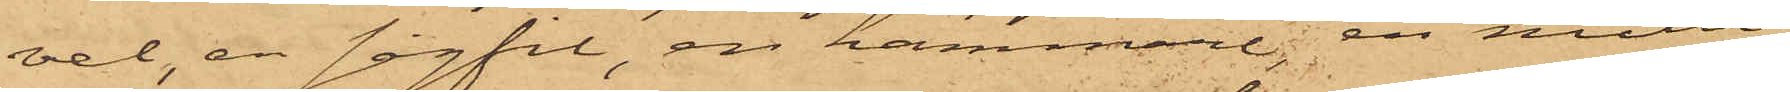hyfvel, en sågfil, en hammare; en mall¬
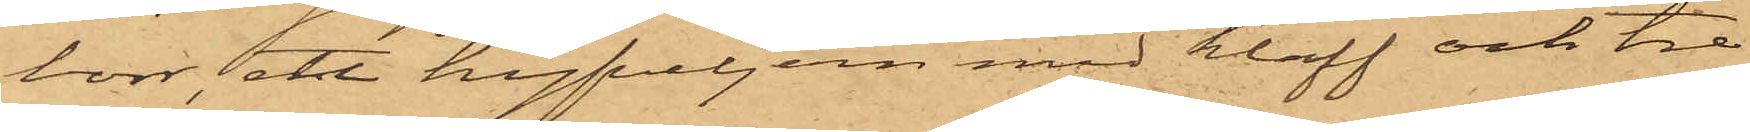borr, ett hyfveljern med klaff och tre
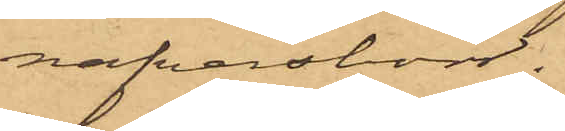nafvareborr.
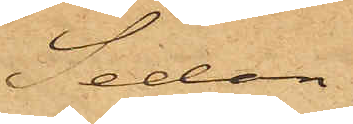Sedan
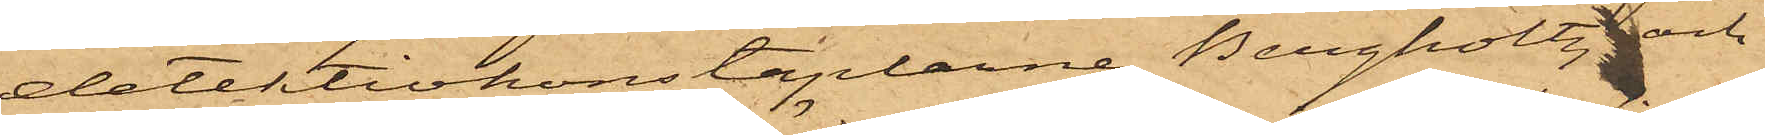detektivkonstaplarne Bergholtz och
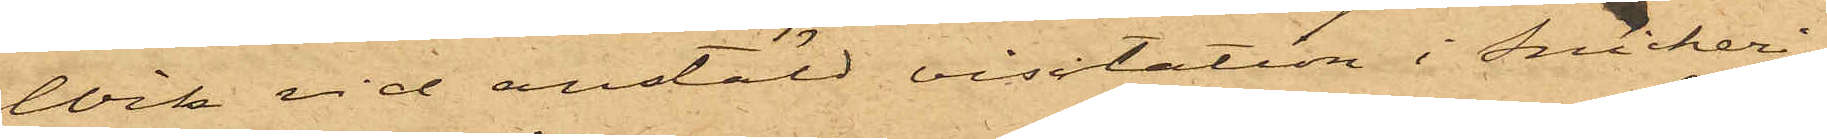Wik vid anstäld visitation i Snickeri¬
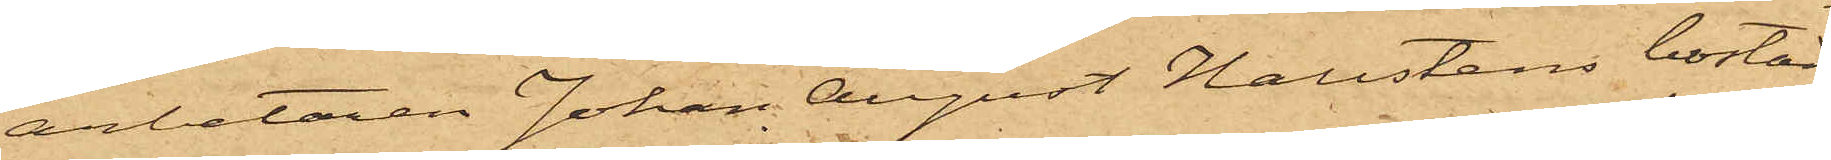arbetaren Johan August Hallstens bostad
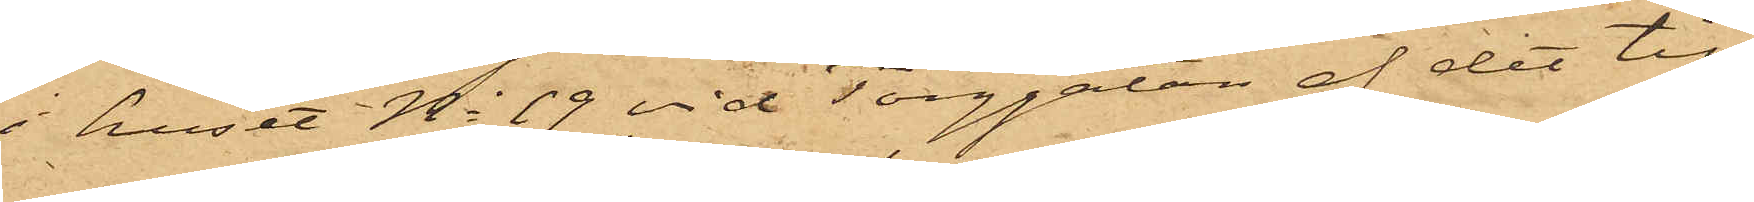i huset No 19 vid Torggatan af det till¬
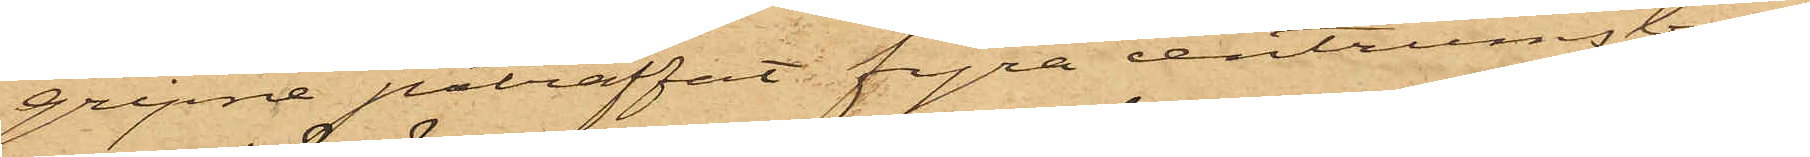gripne påträffat fyra centrumsborr,
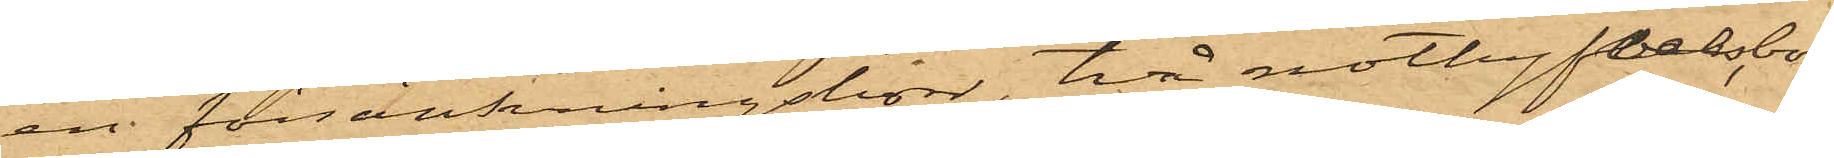en försänkningsborr, två nothyfvelsborr,
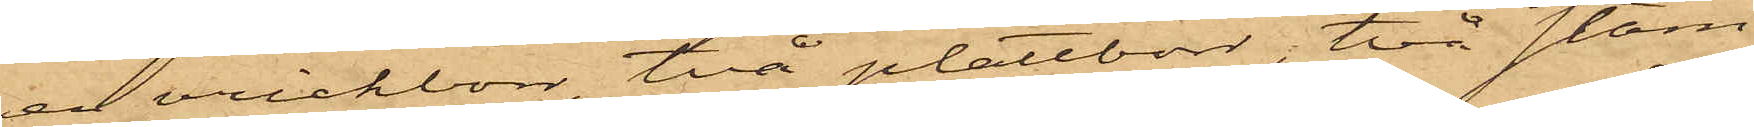en vrickborr, två plåtborr, två stäm¬
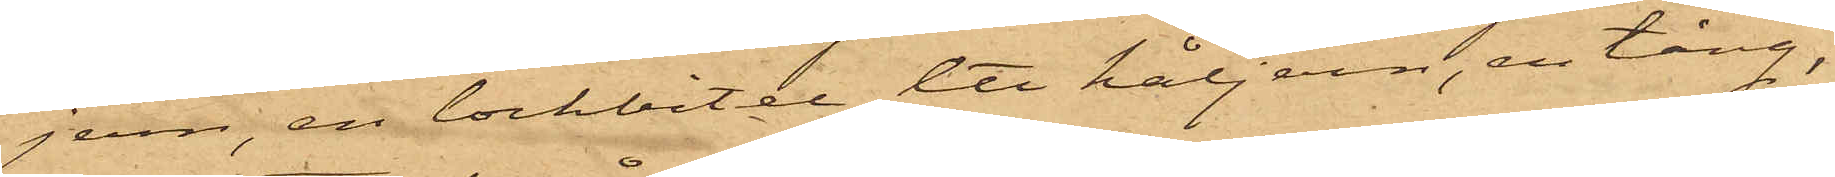jern, en lockbitel, ett håljern, en tång,
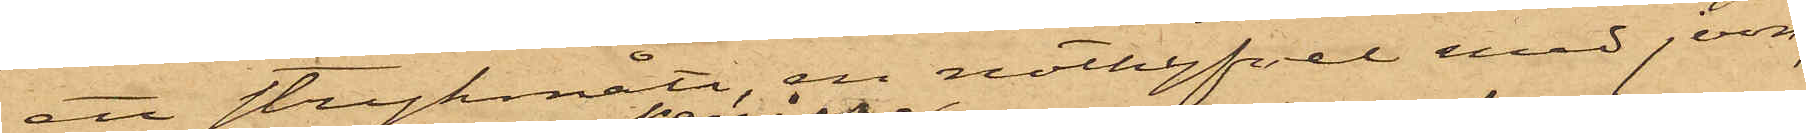ett strykmått, en stöthyfvel med jern,
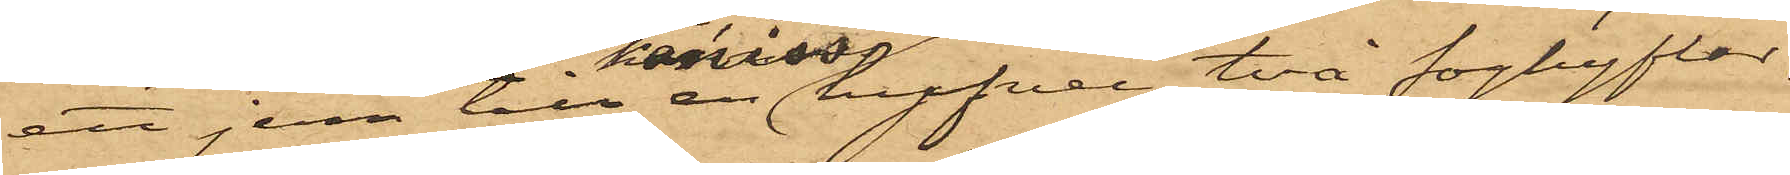ett jern till en oviss hyfvel, två foghyflar
